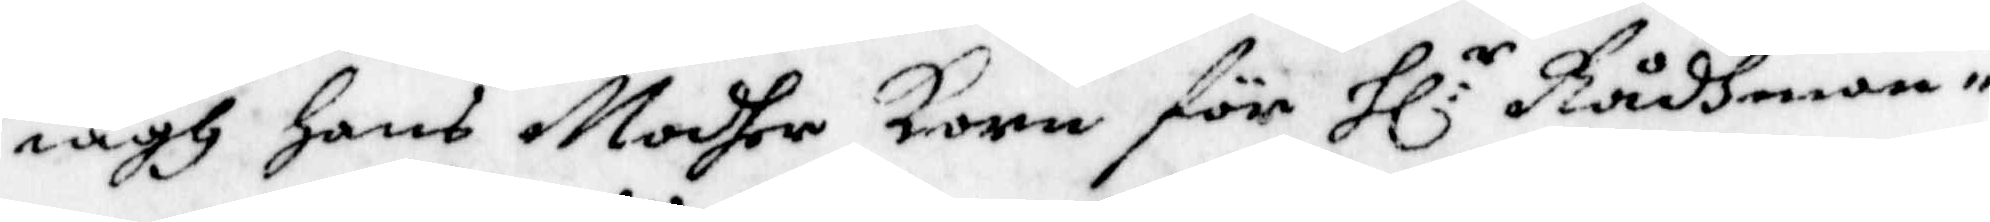iagh Hans Modher Korn för Hl:r Rådhman¬
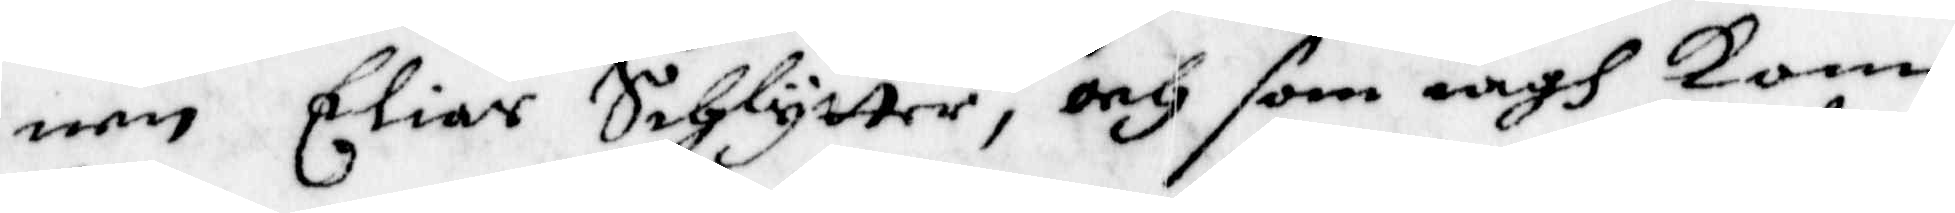nen Eliar Schlytter, och som iagh kom
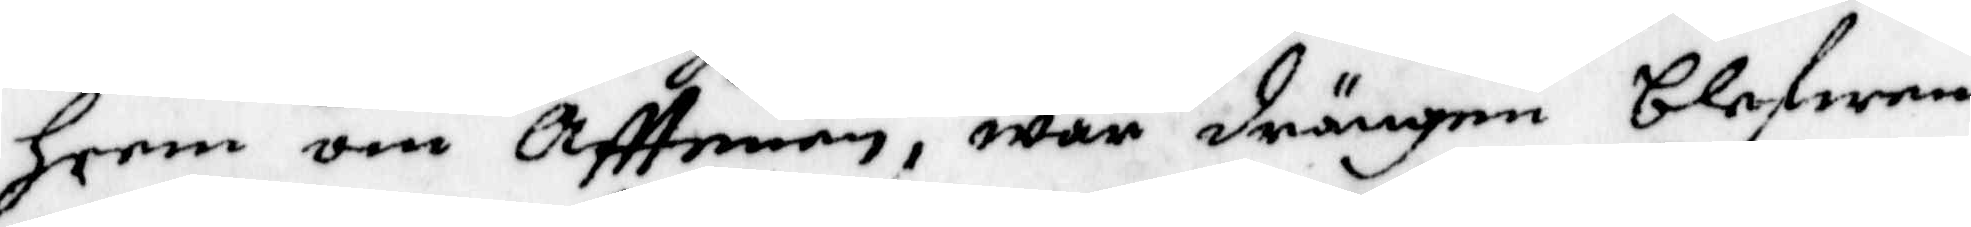heem om Afftenen, war drängen blefwen
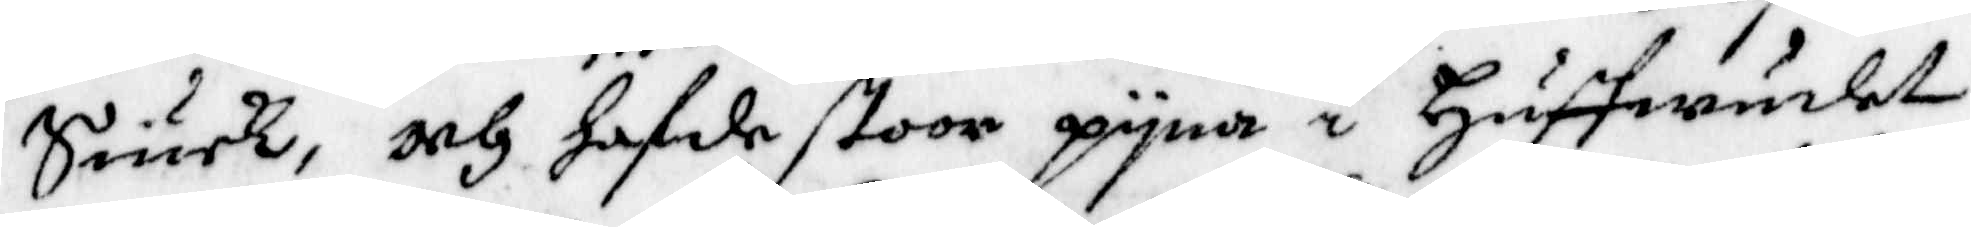Siuck, och hafde stoor pyna i Huffwudet
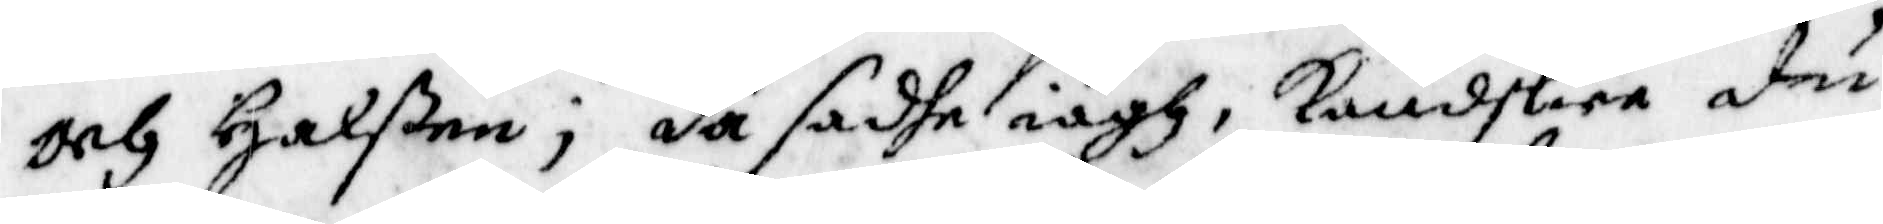och Halßen; då sadhe iagh, kandskier du
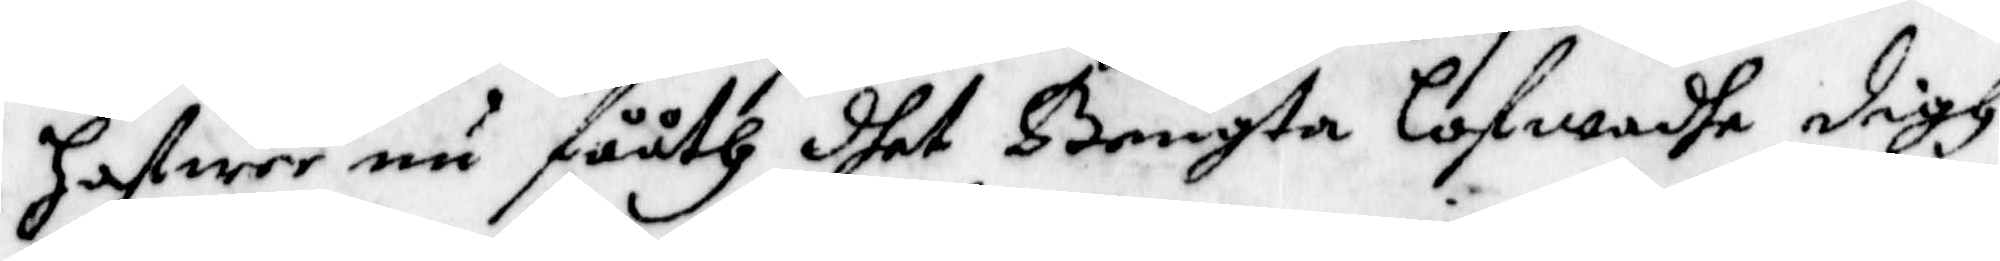hafwer nu fååth dhet Bengta lofwade digh
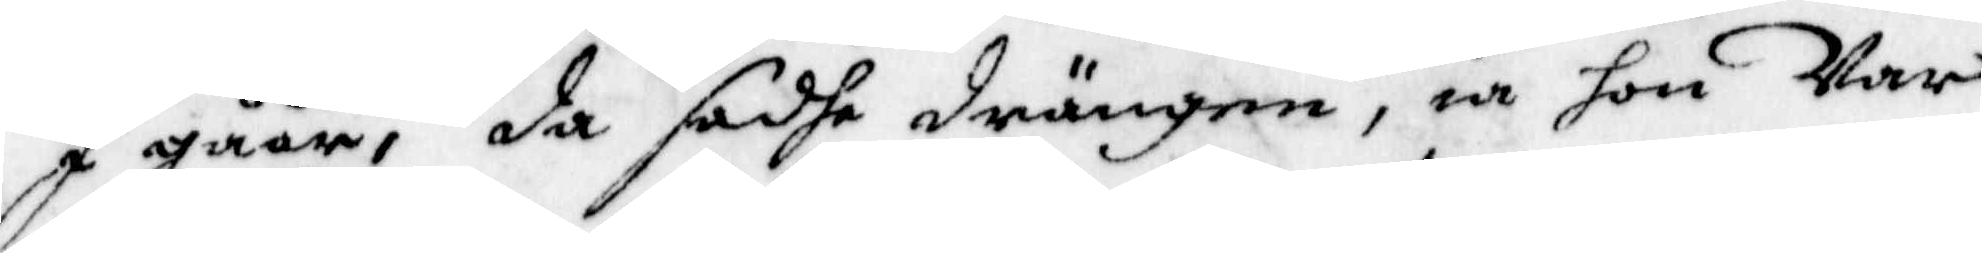I gåår; då sadhe drängen, ia hon Var
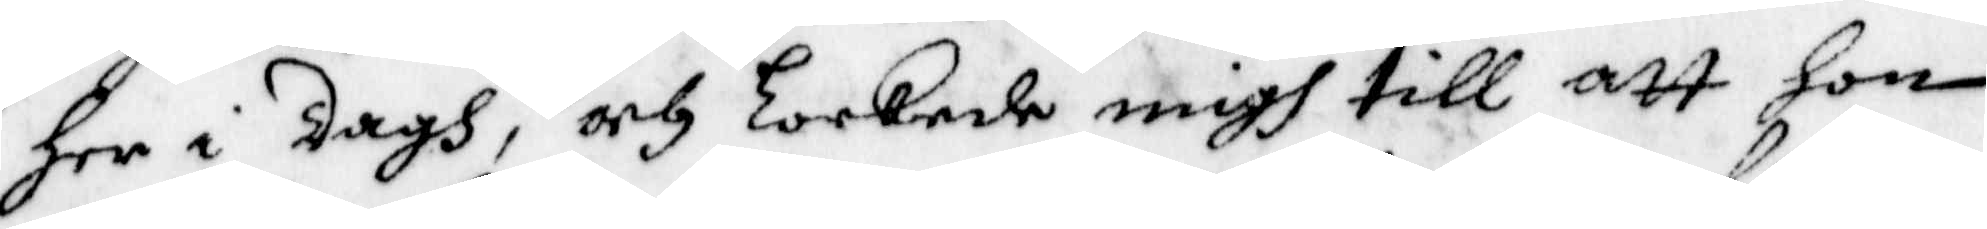her i dagh, och lockede migh till att hon
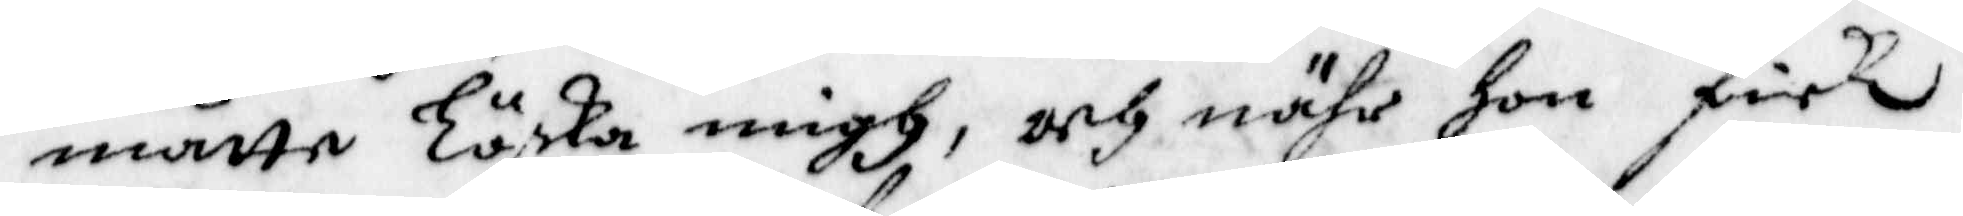måtte Löska migh, och nähr hon Fick
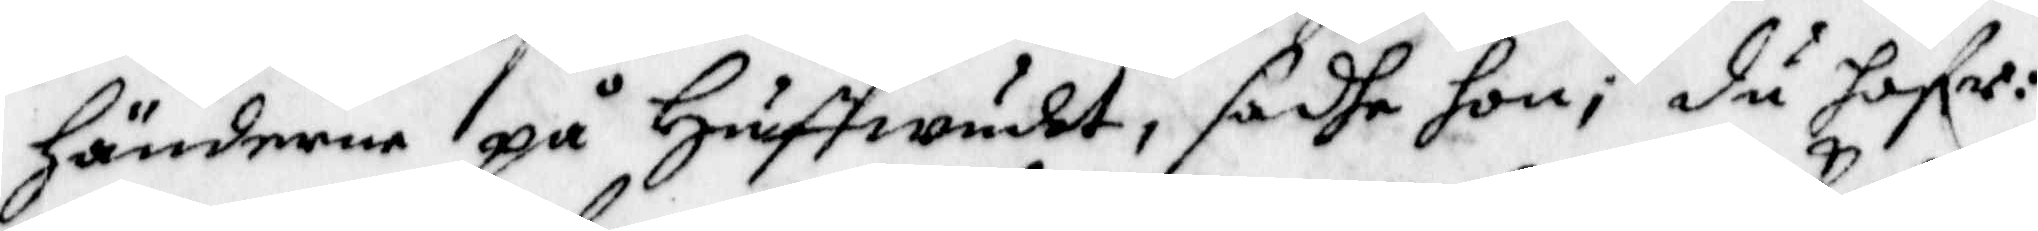händerne på Huffwudet, sadhe hon, du hafr:
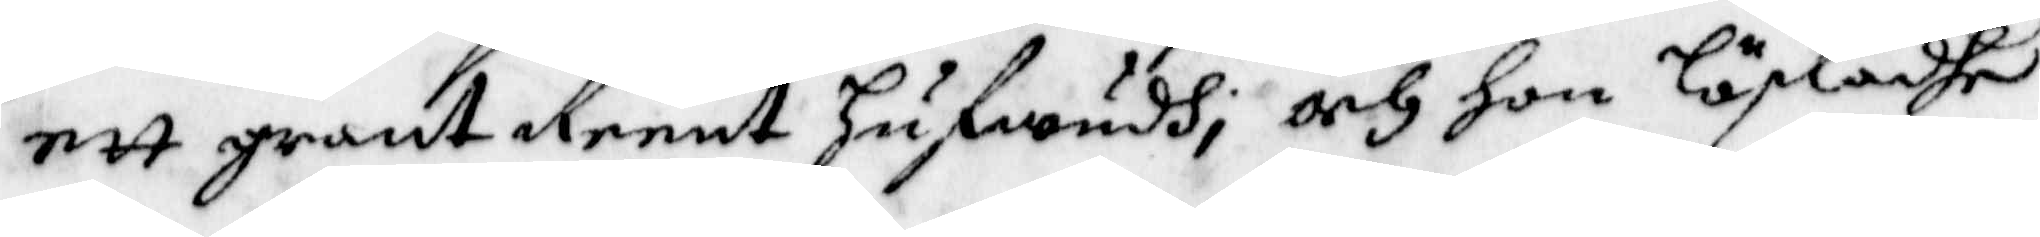ett grant Reent Hufwudh; och hon löskadhe
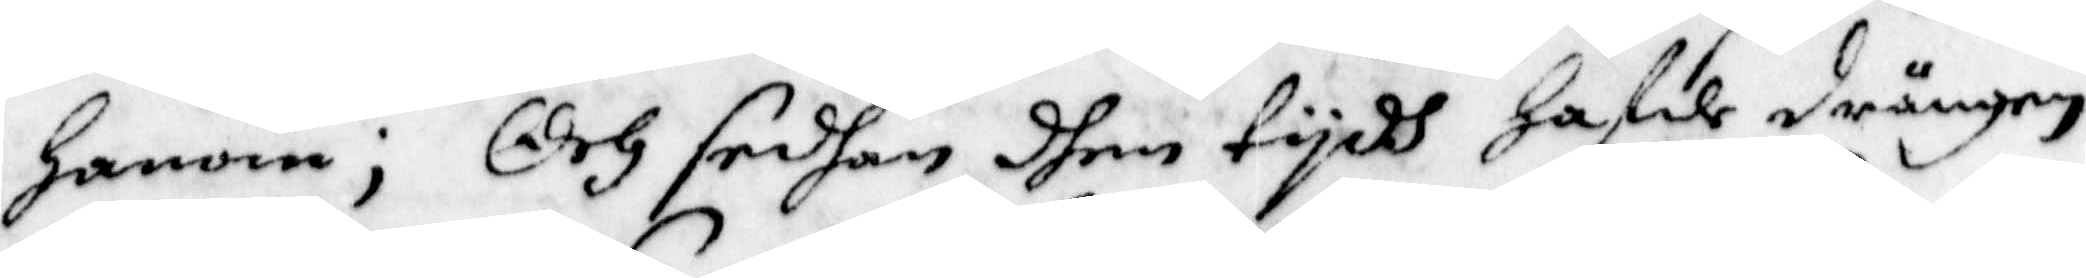honom; Och sedhan dhen tydh hafde drängen
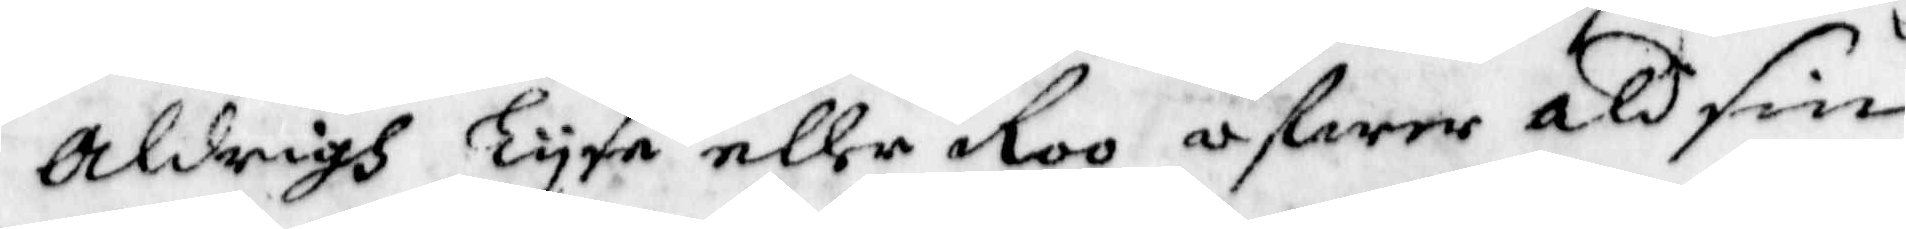aldrigh Lyse eller Roo ofwer ald sin
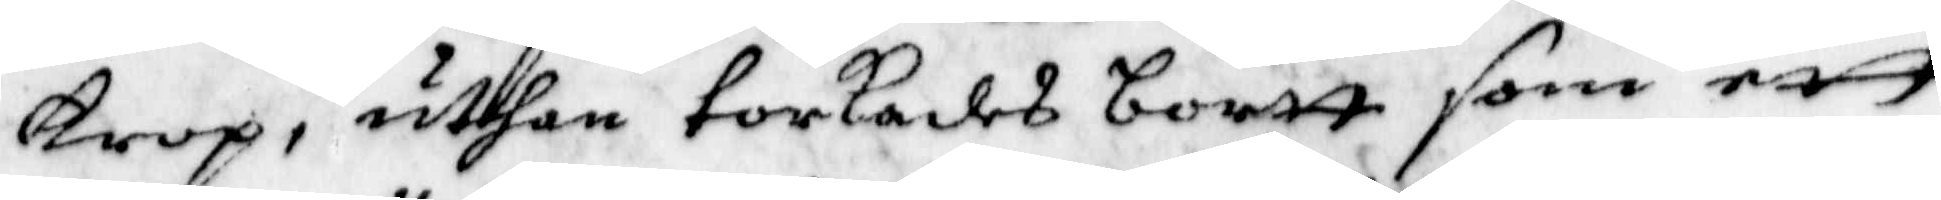krop, uthan torkades bortt som ett
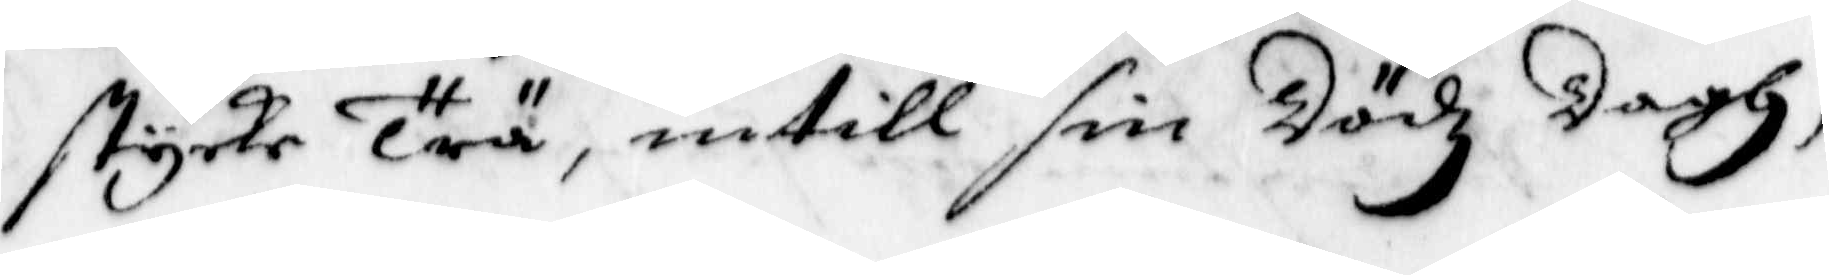stycke Trä, intill sin Dödz dagh;
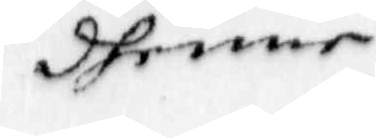dhenne
